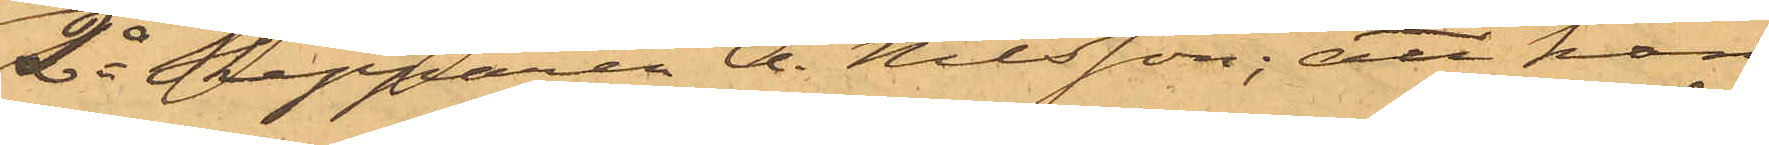2o Skepparen A. Nilsson; att han
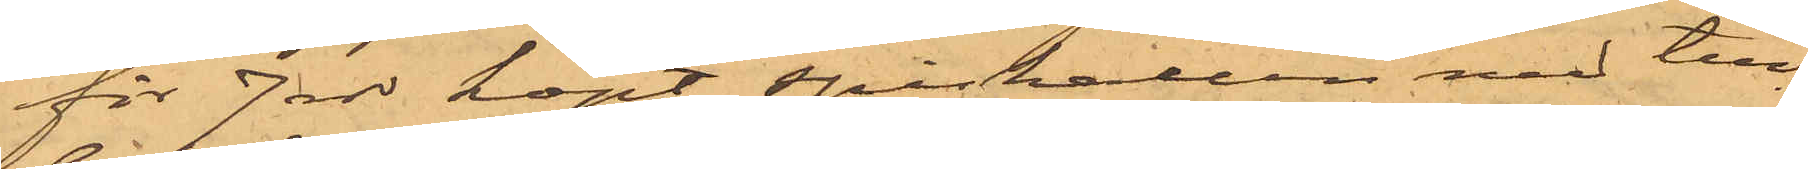för 7 rdr köpt spishallen med till¬
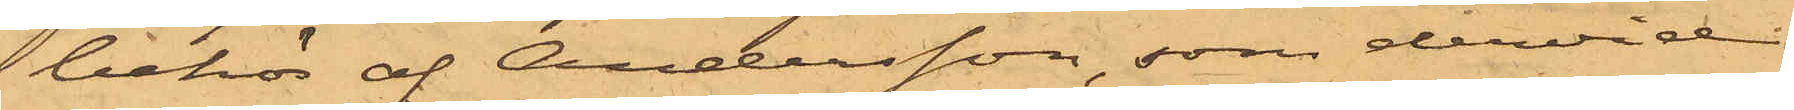behör af Andersson, som dervid
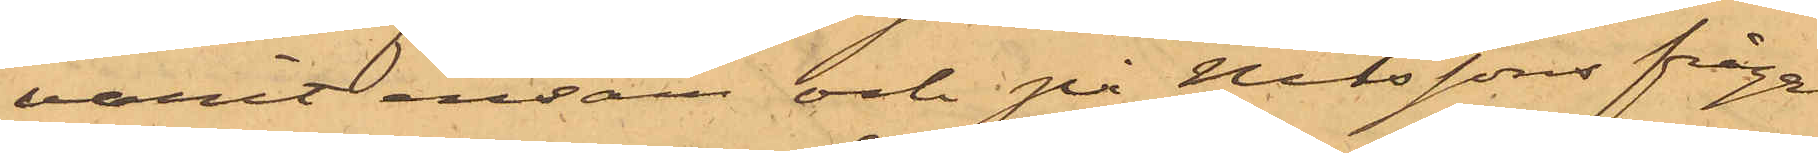varit ensam och på Nilssons fråga
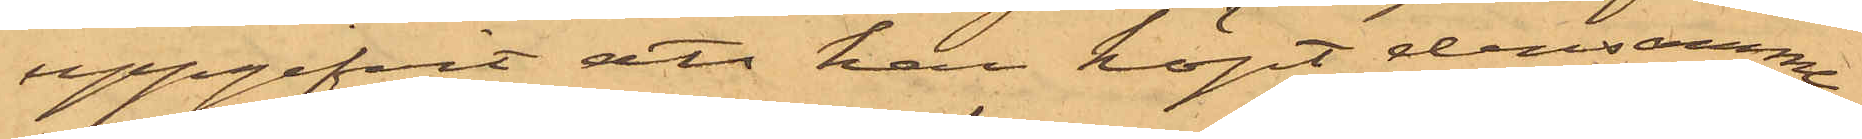uppgifvit, att han köpt densamma
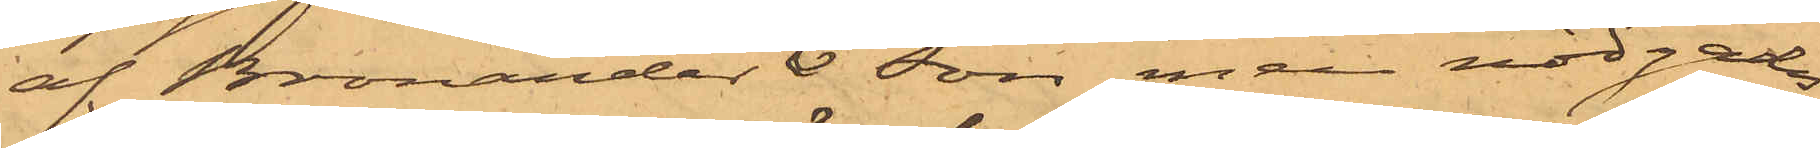af Bronander & son, men nödgades
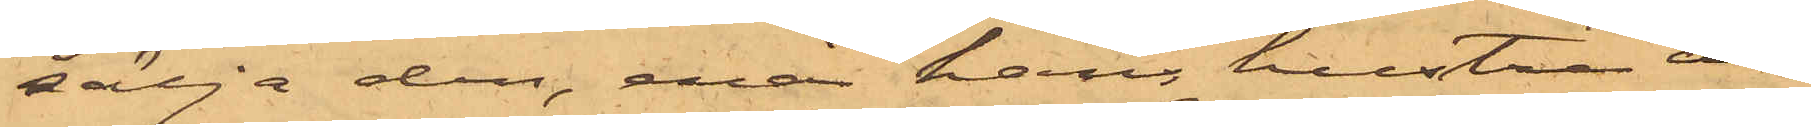sälja den, enär hans hustru in¬
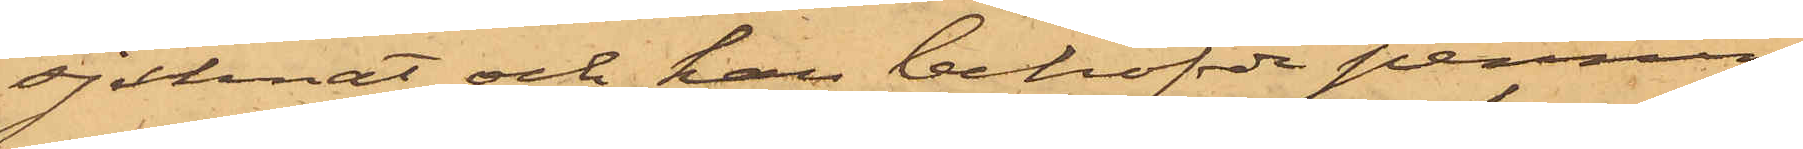sjuknat och han behöfvde pennin¬
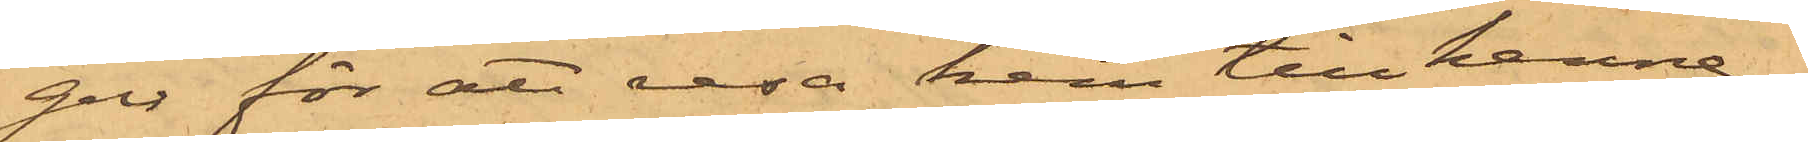gar för att resa hem till henne.
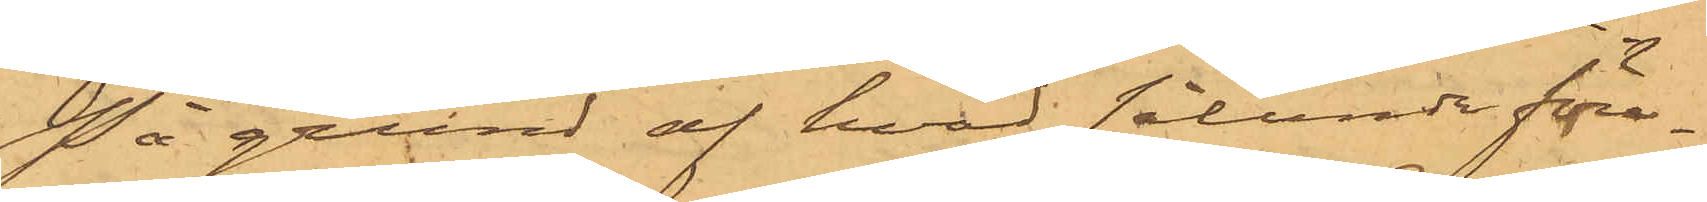På grund af hvad sålunda före¬
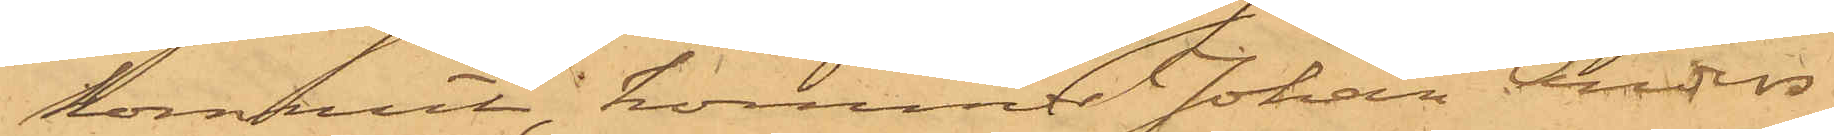kommit, kommer Johan Anders¬
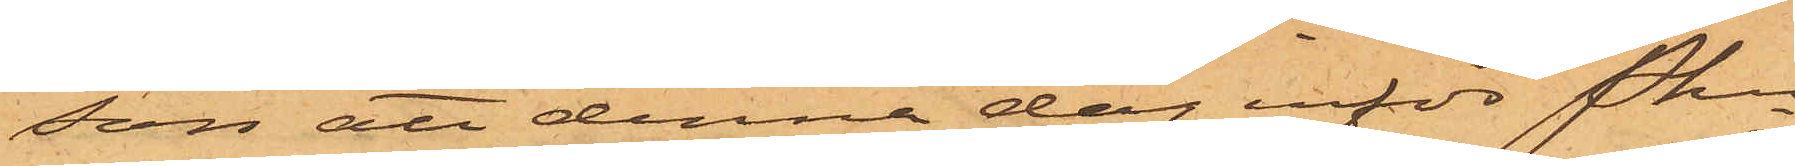son att denna dag inför Pkn
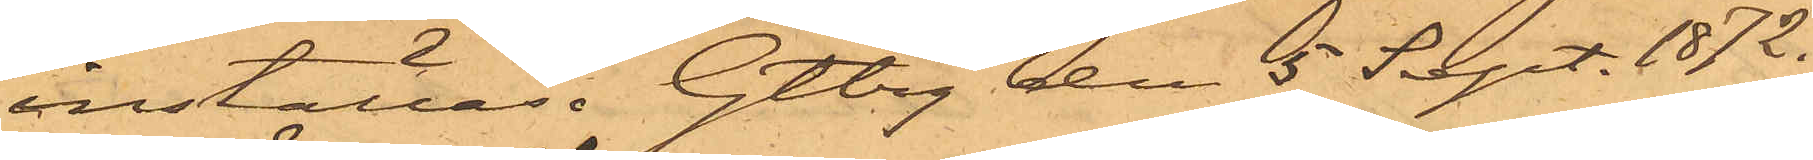inställas. Gtbg den 5 Sept. 1872.
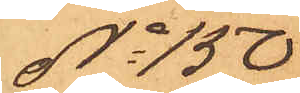No 150
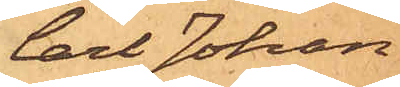Carl Johan
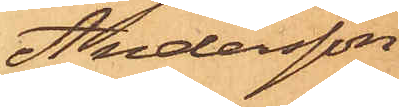Andersson
